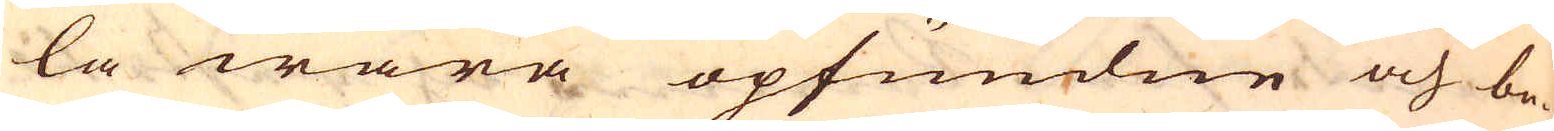la wara opfundne och be-
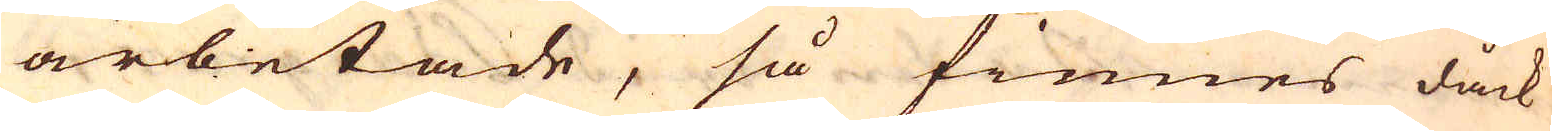arbetade, så finnes dåck
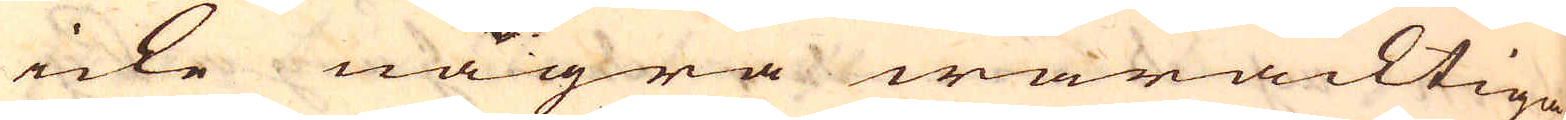icke några waracktiga-
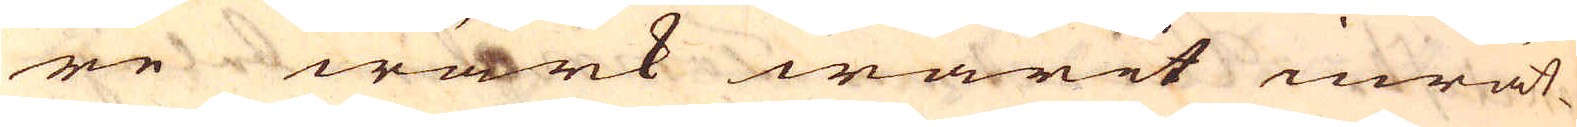re wärk warit inrät-
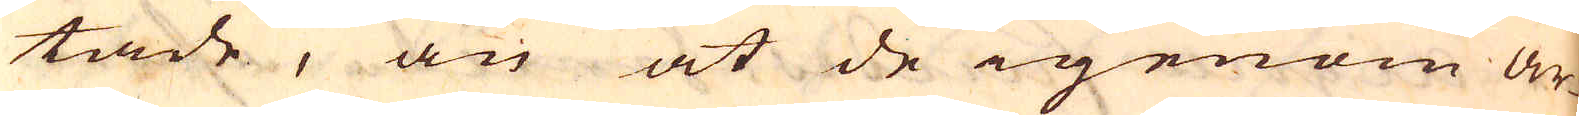tade, än at de igenom ar-
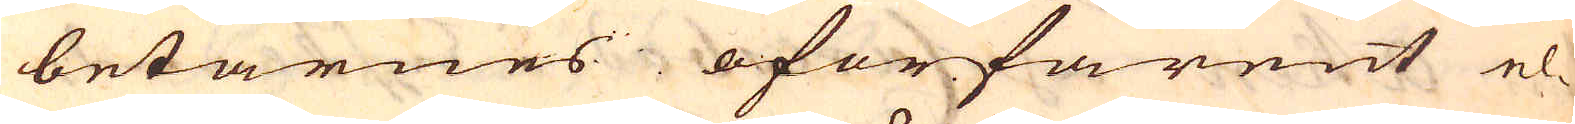betarnes oförfarent el-
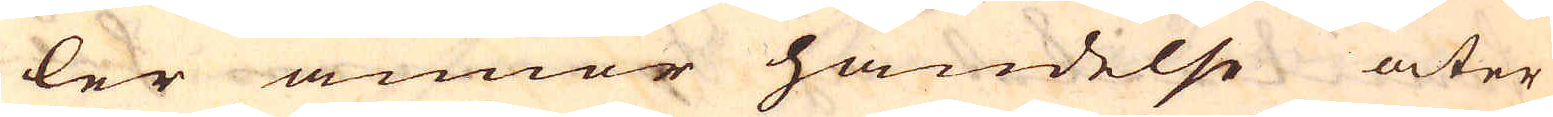ler annor händelse åter
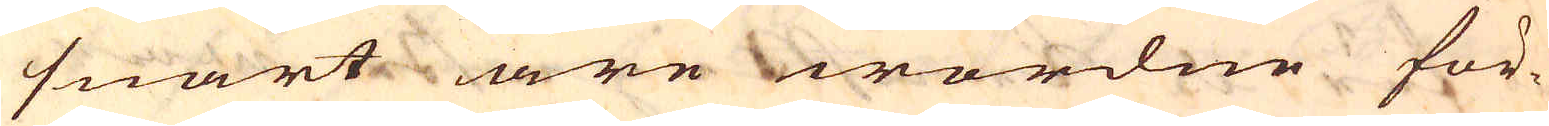snart äre wordne för-
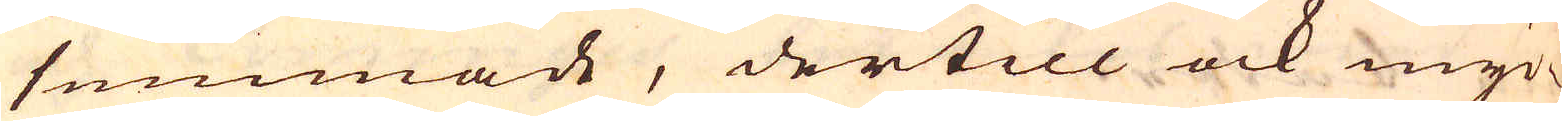summade, dertill ock myc-
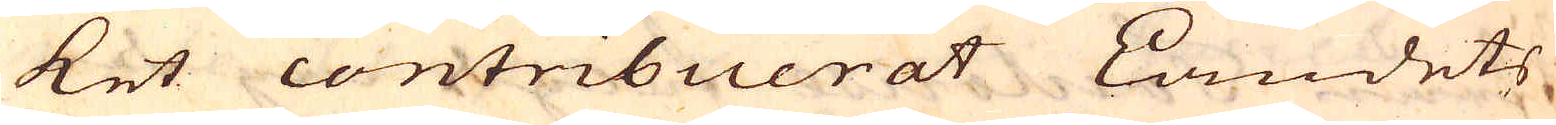ket contribuerat Landets
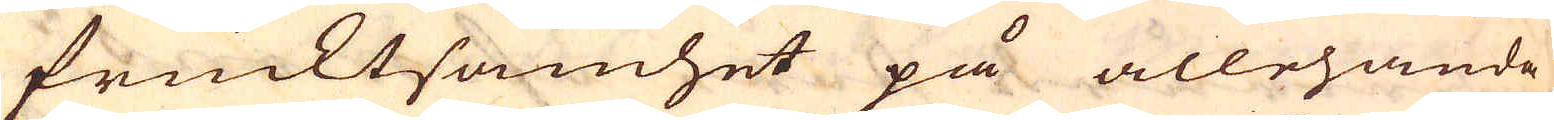frucktsamhet på allehanda
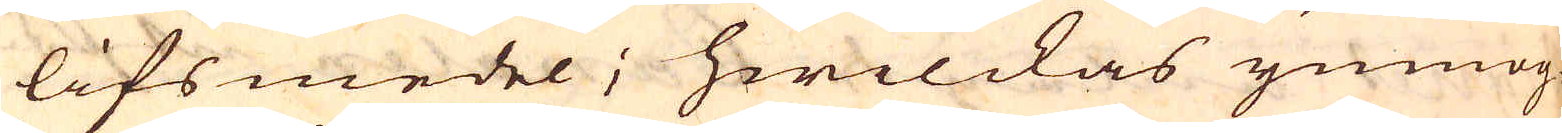lifsmedel, hwilckas ymnog-
